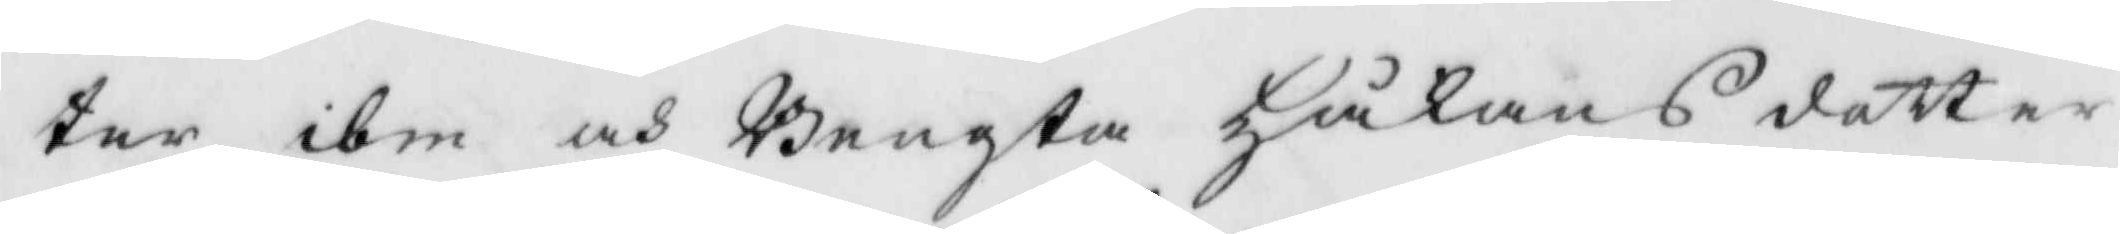ter ibm och Bengta Håkans dotter
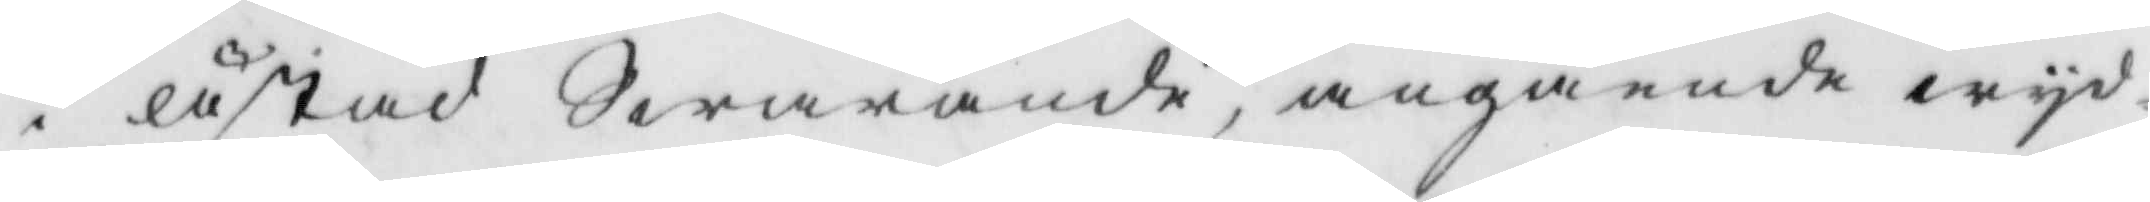i låstad Swarande, angående wyd¬
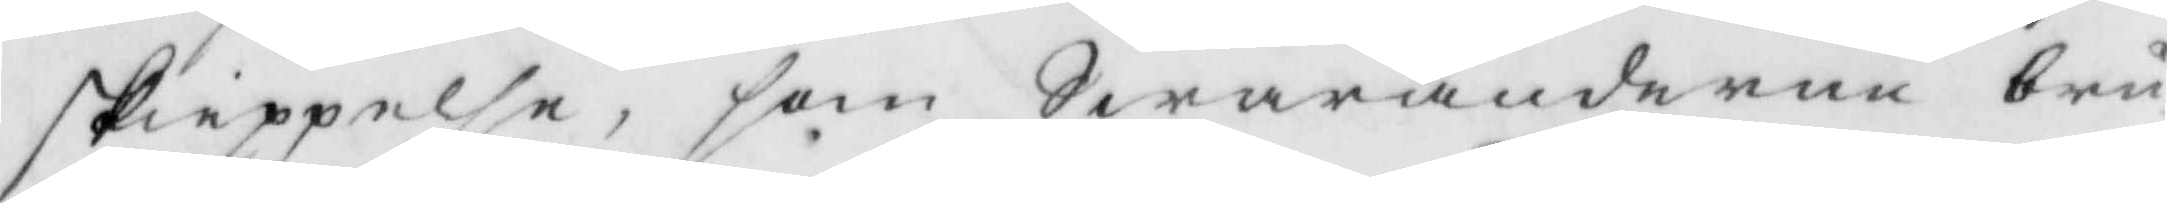skieppelse, som Swaranderna bru¬
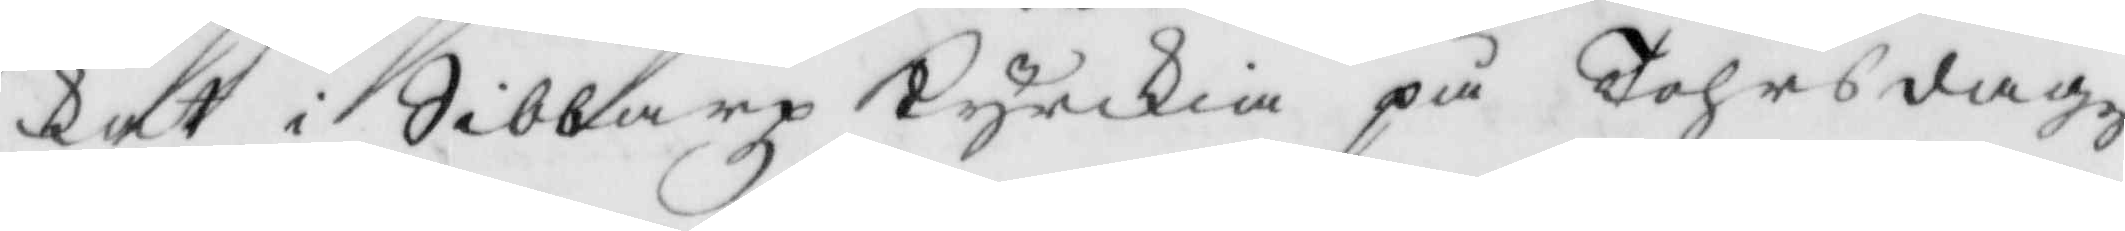kat i Sibbarp Kyrkia på Tohrsdagz
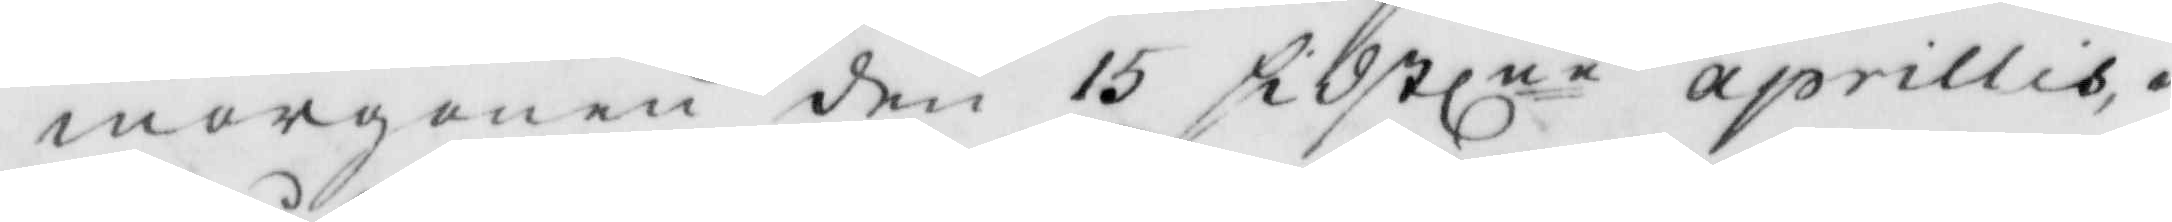morgonen den 15 sidstlne aprillis i
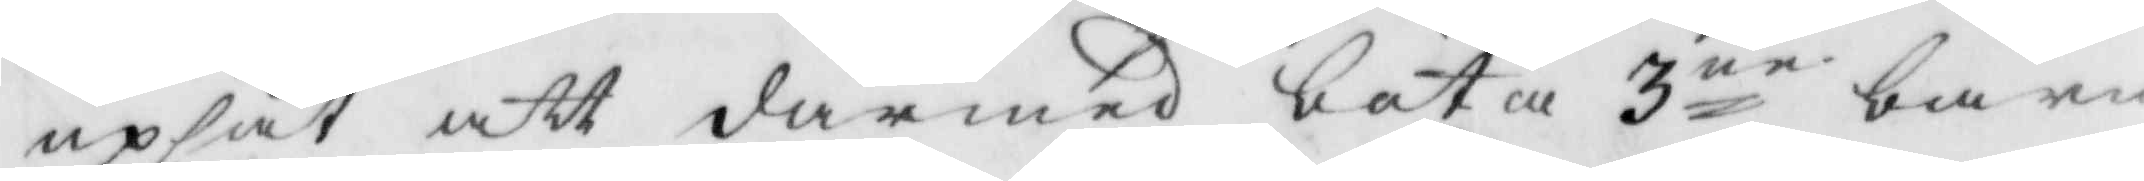uppsåt att därmed bota 3ne barn
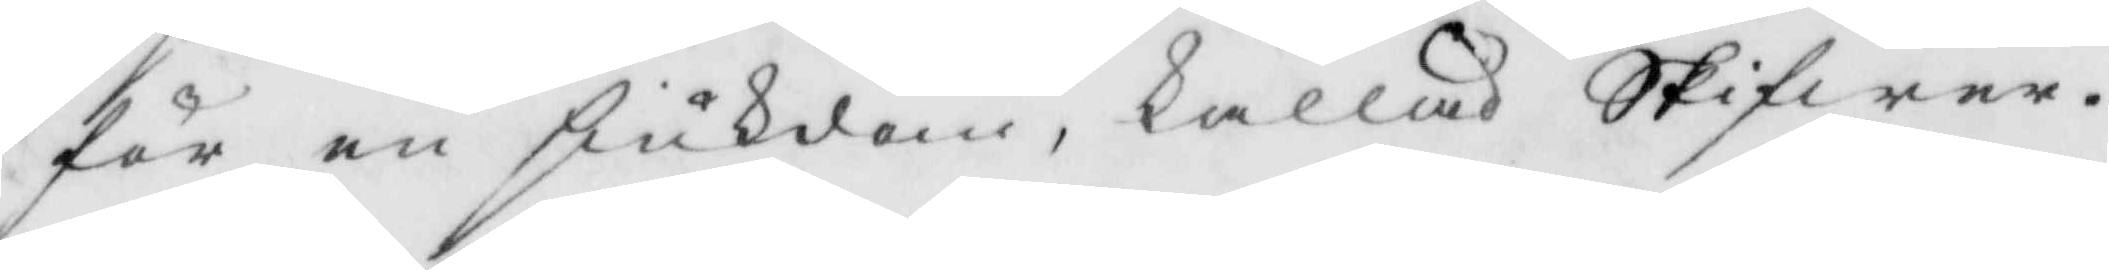för en siukdom, kallad Skifwer.
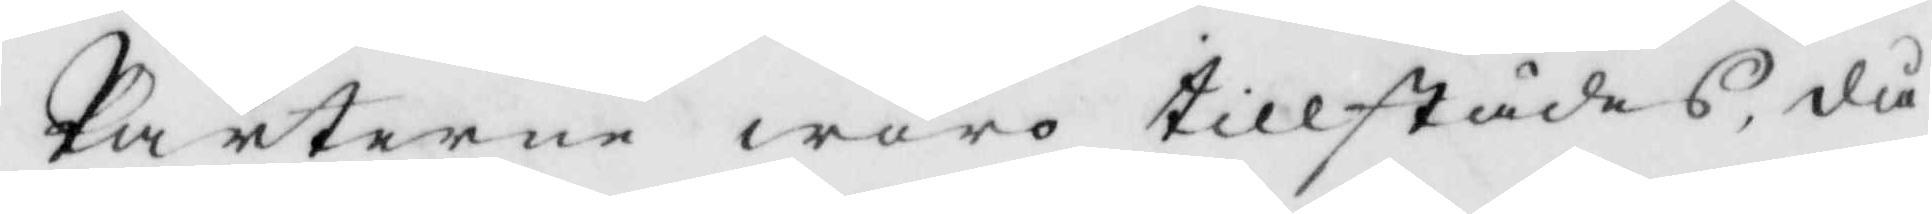Parterne woro tillstädes, då
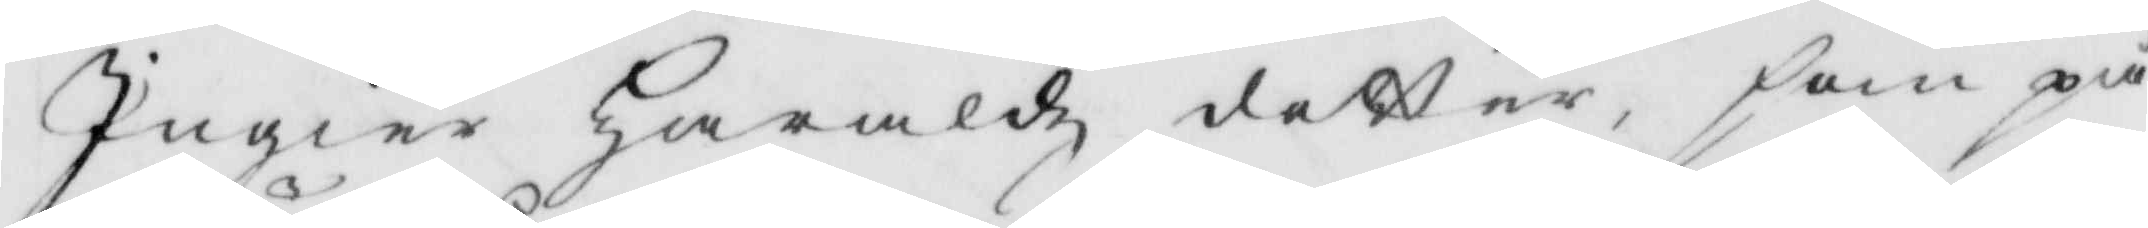Ingier Haraldz dotter, som på
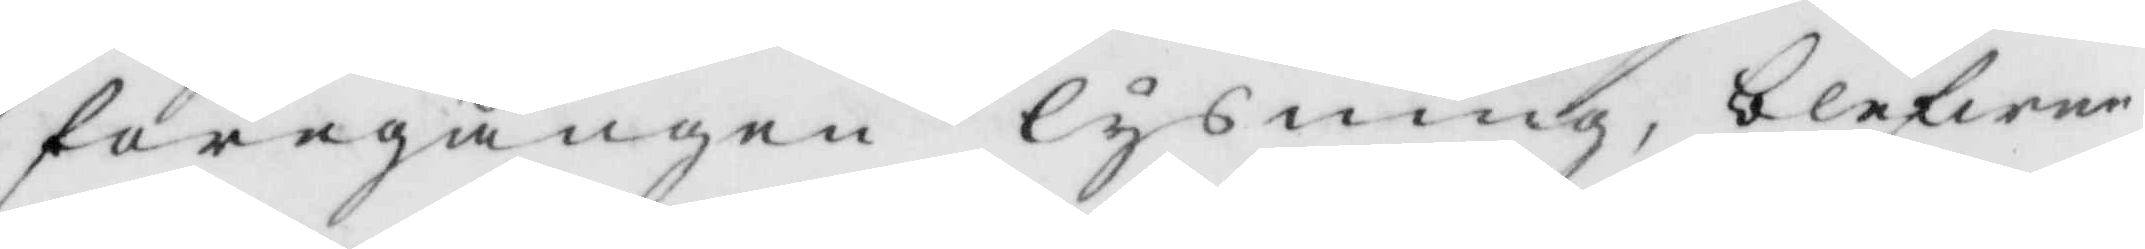föregången lysning, blefwer
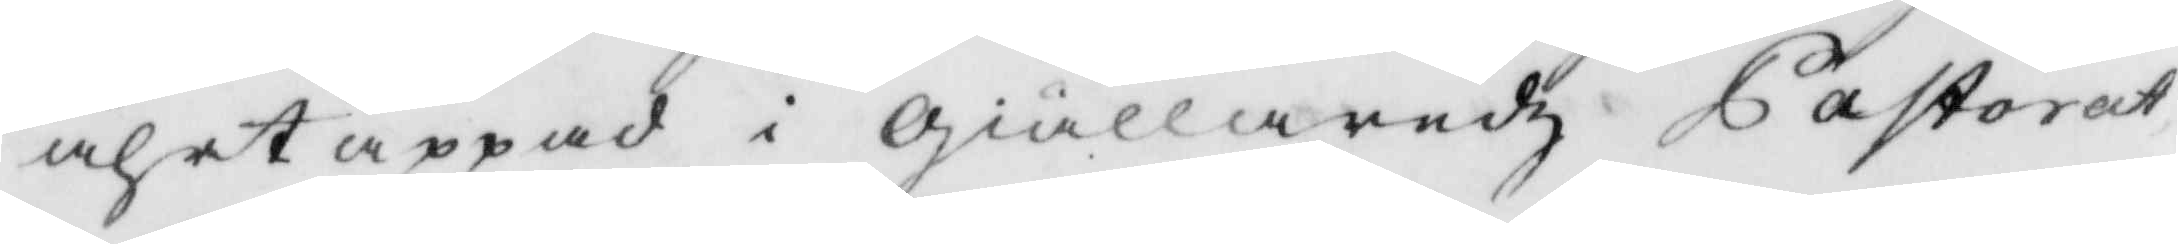ährtappad i giällaredz Pastorat
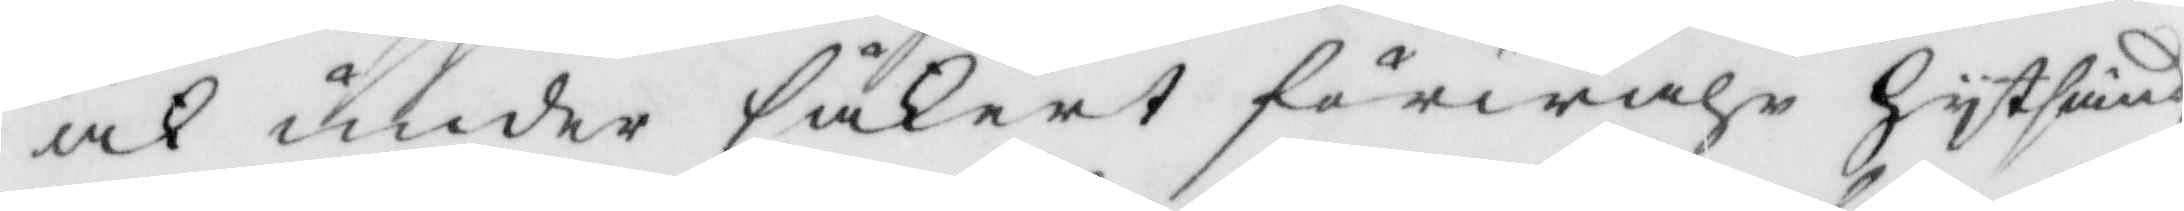och under säkert förwahr hytsänd
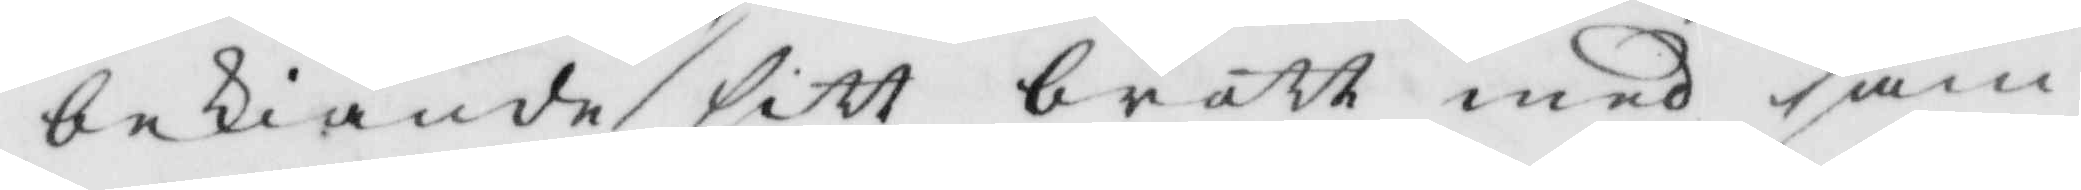bekiände sitt brått med sam¬
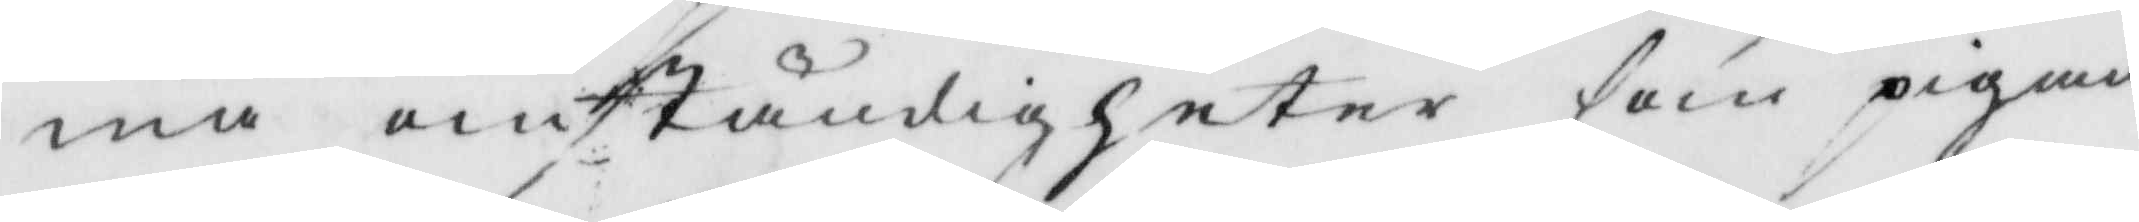ma omständigheter som pigan
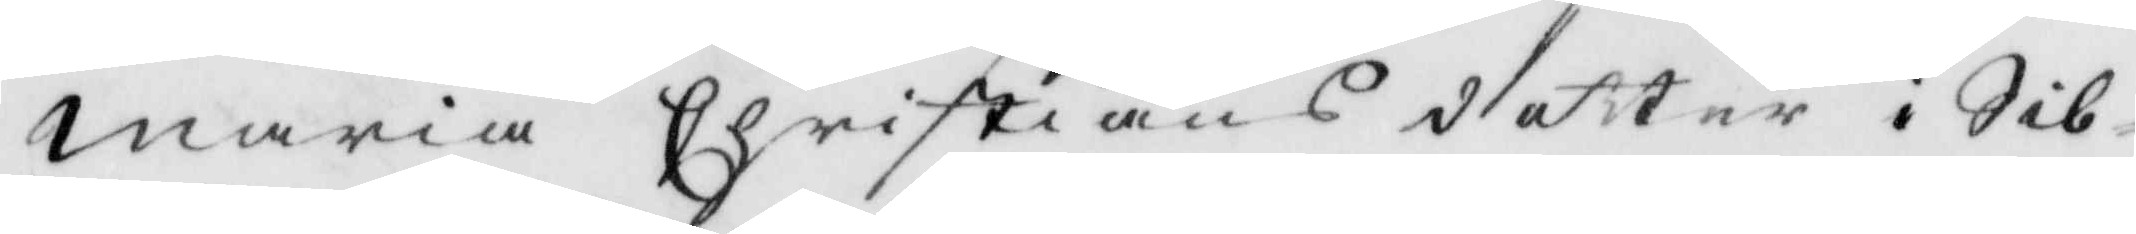maria Christians dotter i Sib¬
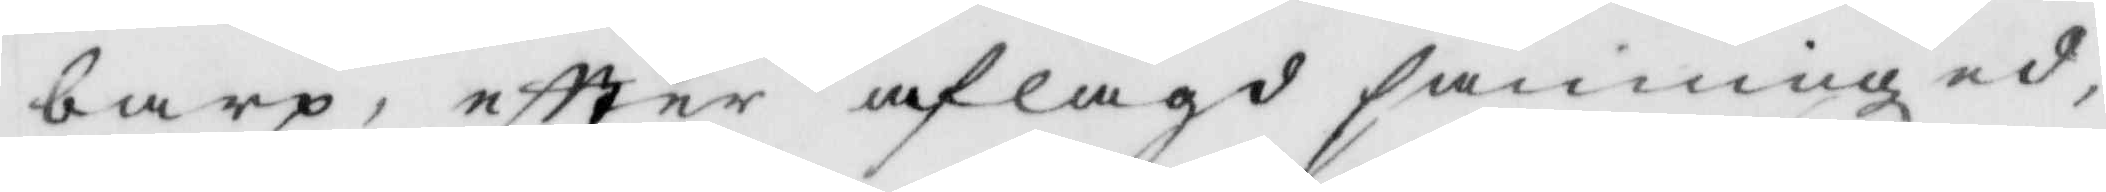barp, eftter aflagd sanninged,
